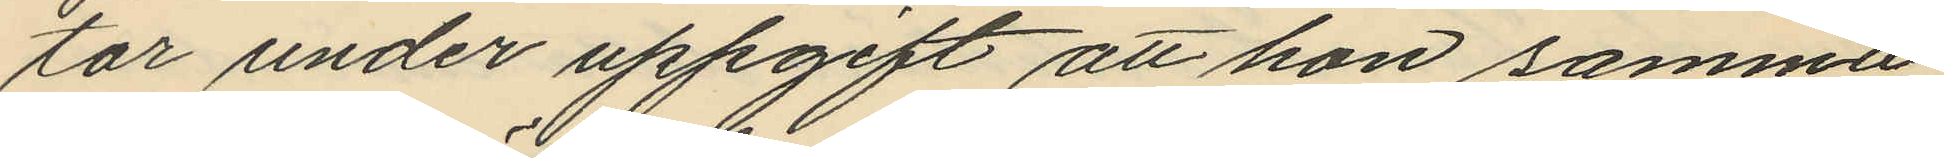tar under uppgift att hon samma
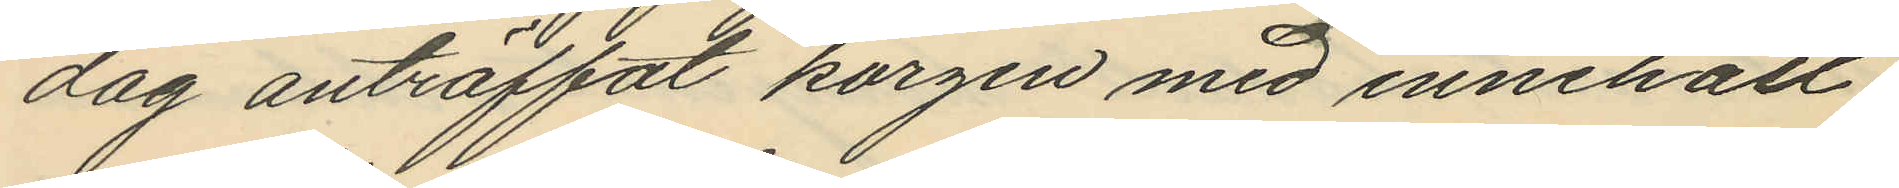dag anträffat korgen med innehåll
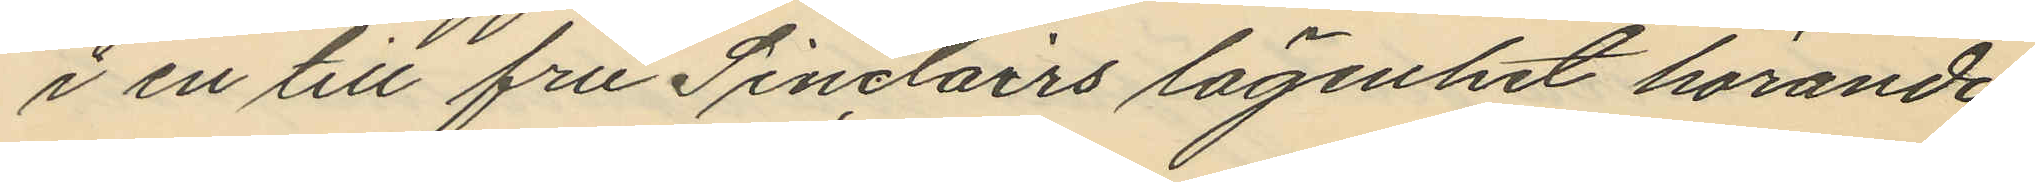i en till fru Sinclairs lägenhet hörande
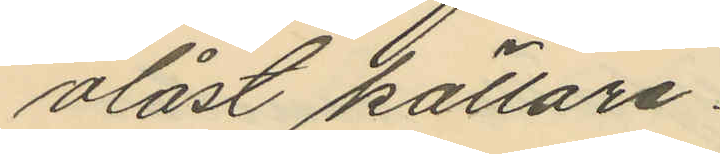olåst källare.
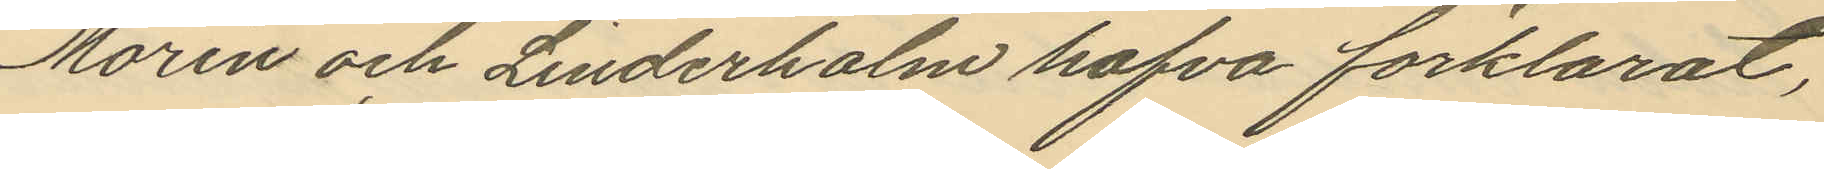Morin och Linderholm hafva förklarat,
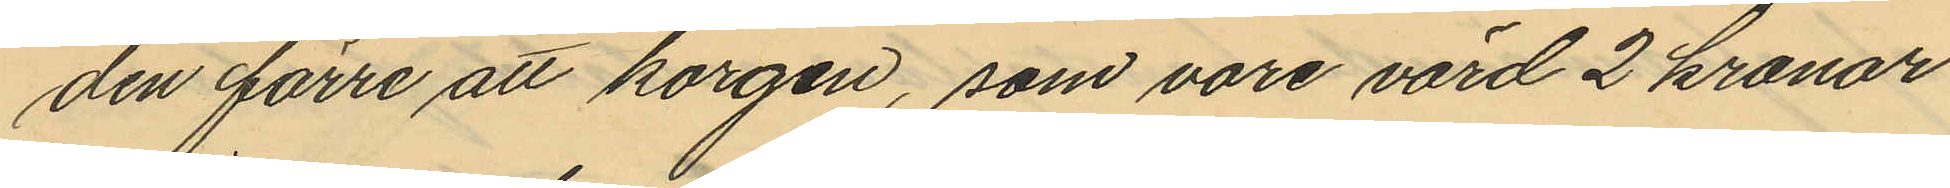den förre att korgen, som vore värd 2 kronor
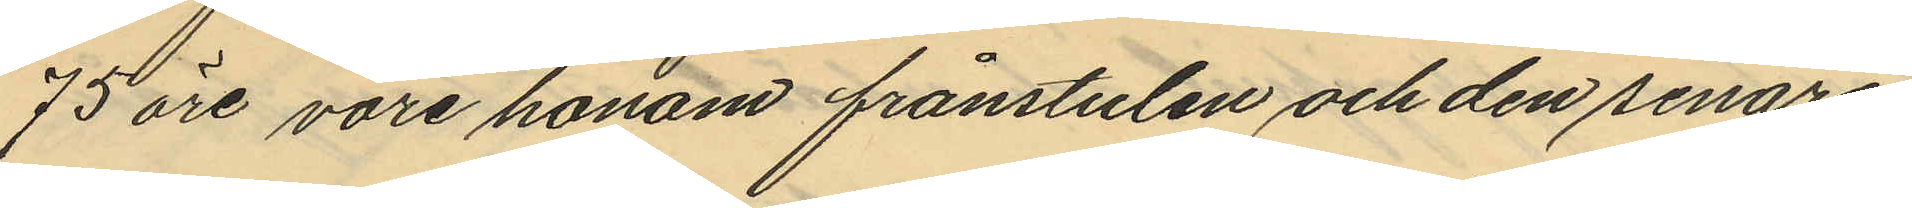75 öre vore honom frånstulen och den senare
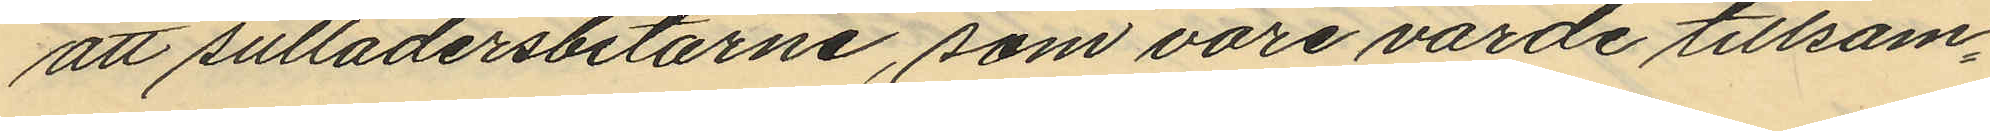att sullädersbitarne, som vore värde tillsam¬
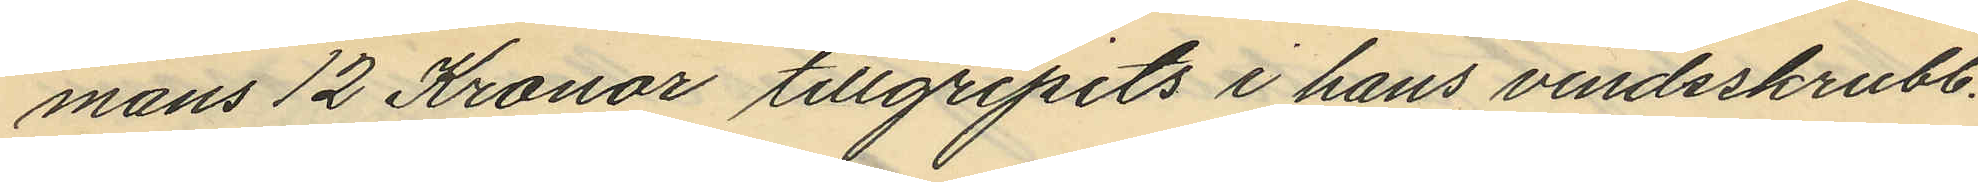mans 12 Kronor tillgripits i hans vindsskrubb.
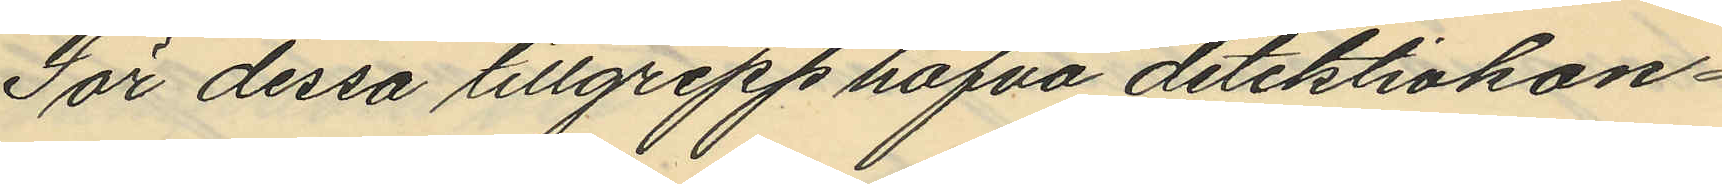För dessa tillgrepp hafva detektivkon¬
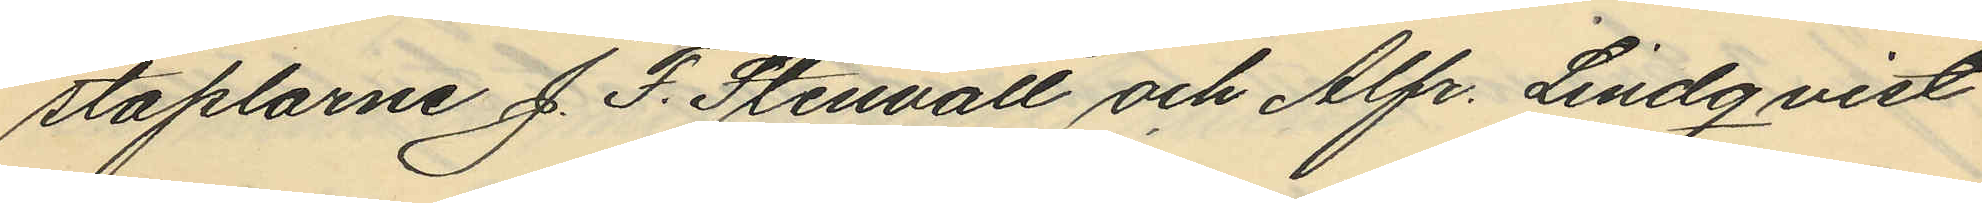staplarne J. F. Stenvall och Alfr. Lindqvist
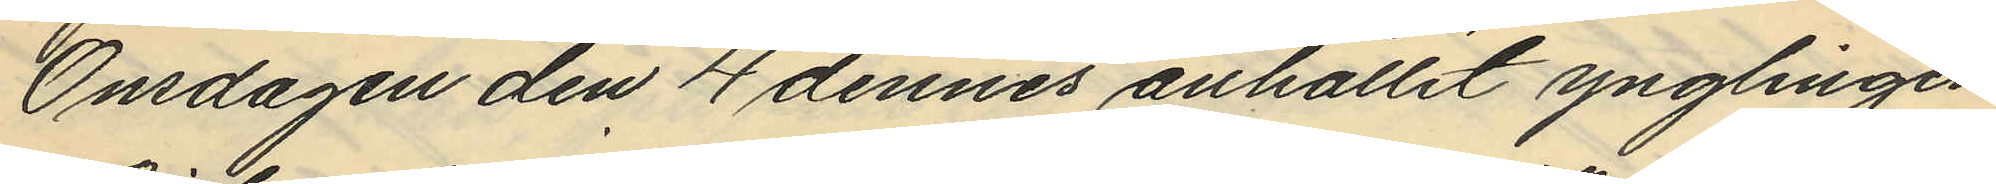Onsdagen den 4 dennes anhållit ynglingen
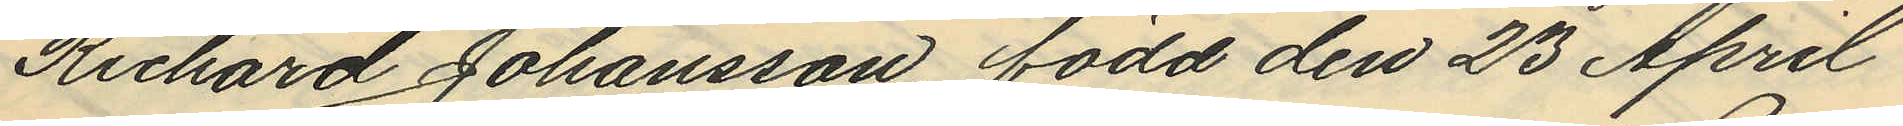Richard Johansson, född den 23 April
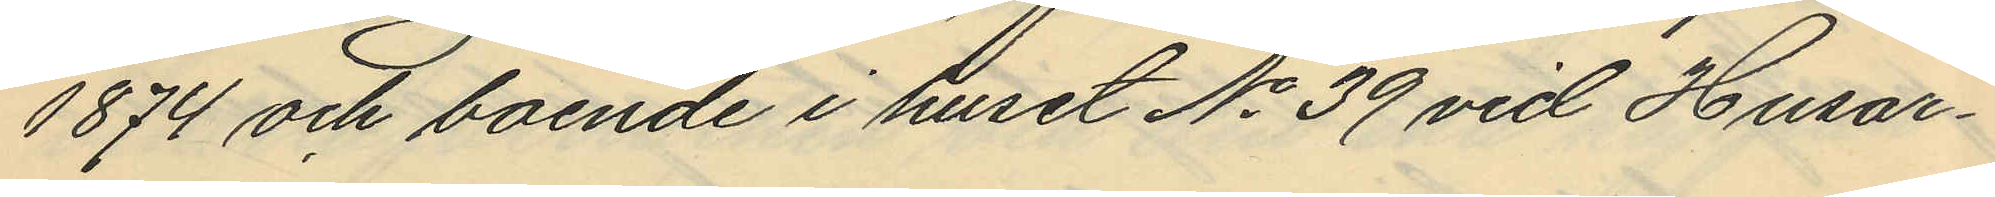1874 och boende i huset No 39 vid Husar¬
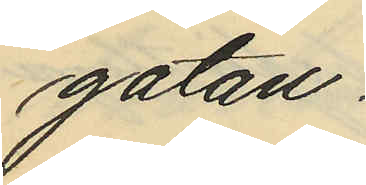gatan.
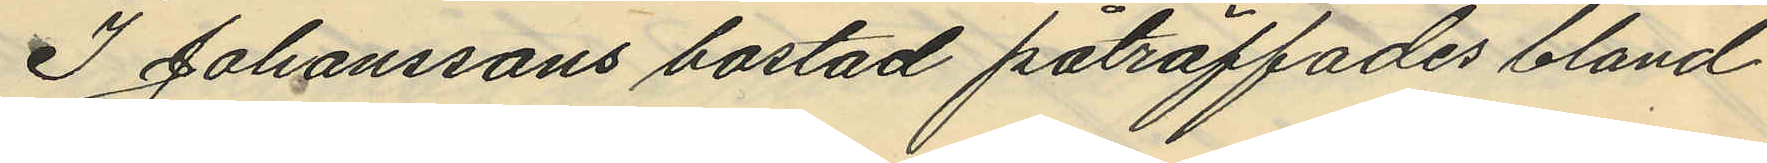I Johanssons bostad påträffades bland
